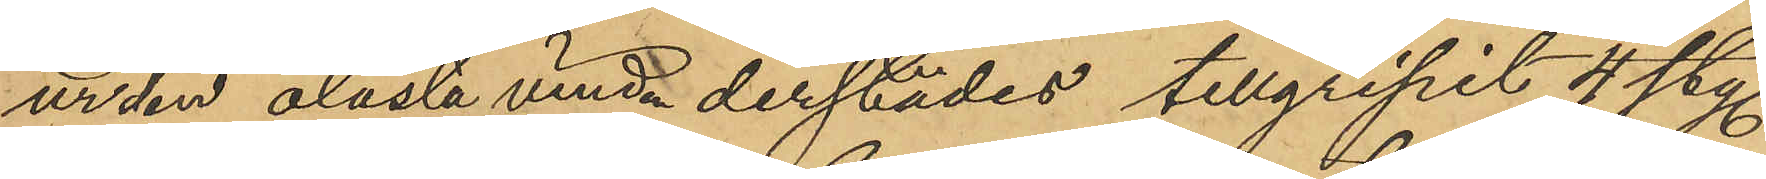ur den olåsta vinden derstädes tillgripit 4 sty.
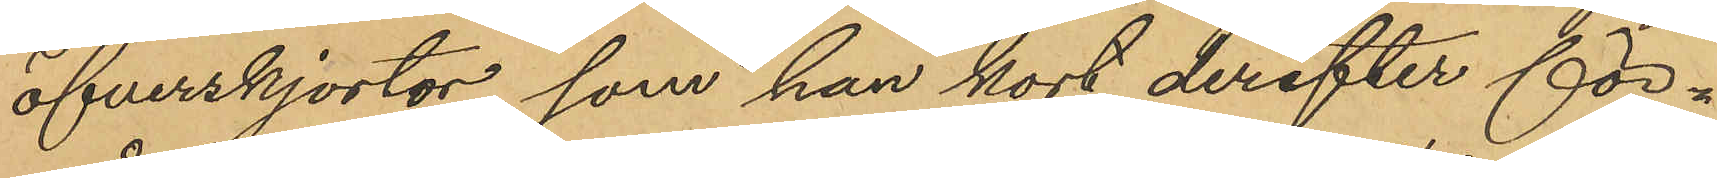öfverskjortor, som han kort derefter för¬
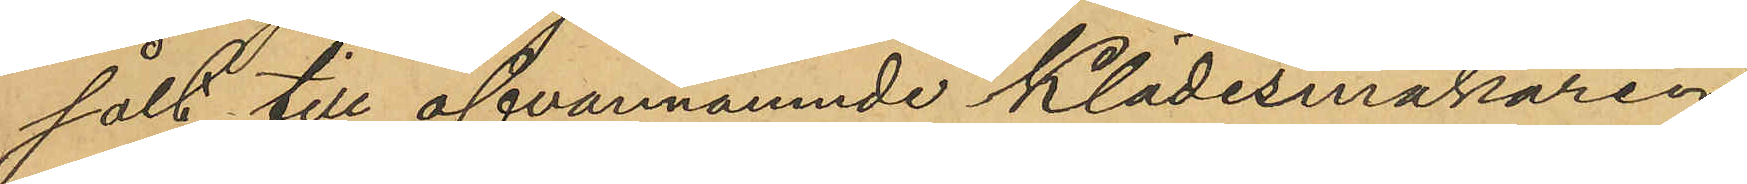sålt till ofvannämnde Klädesmakaren
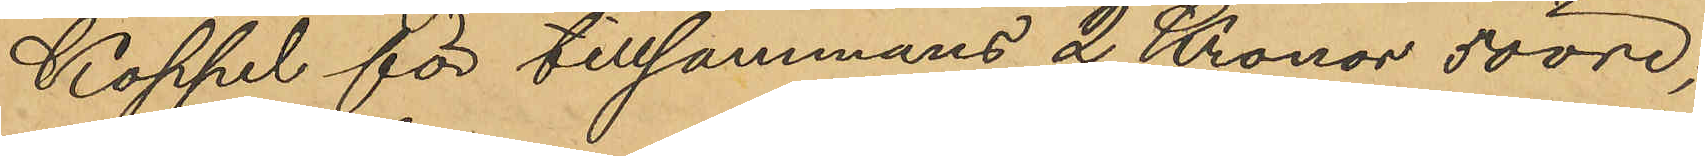Koppel för tillsammans 2 Kronor 50 öre;
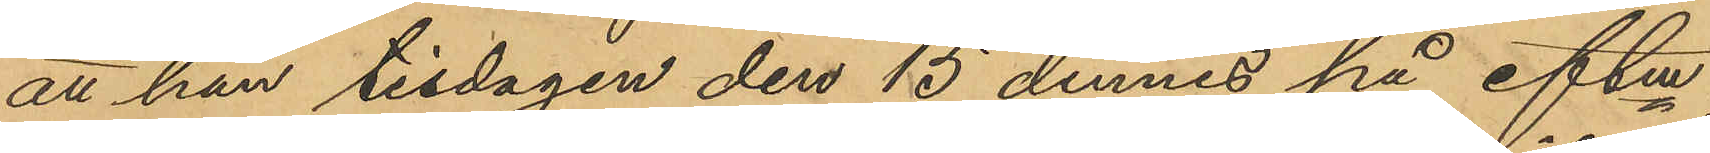att han tisdagen den 15 dennes på eftm,
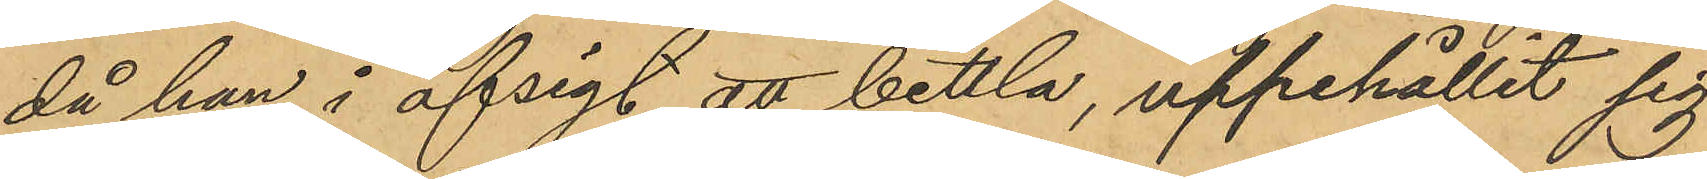då han i afsigt att bettla, uppehållit sig
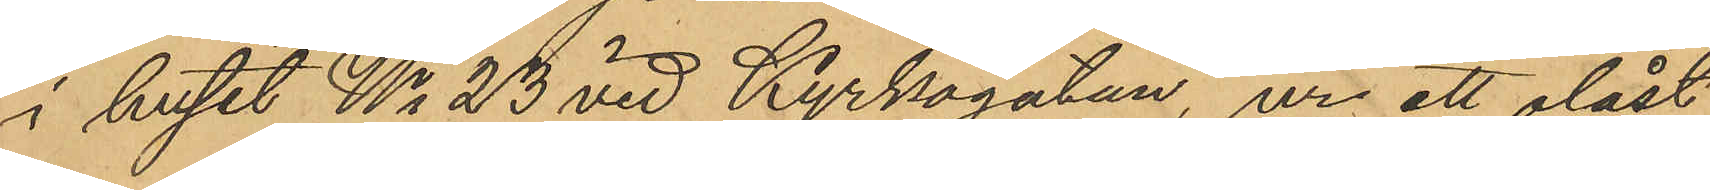i huset No 23 vid Kyrkogatan, ur ett olåst
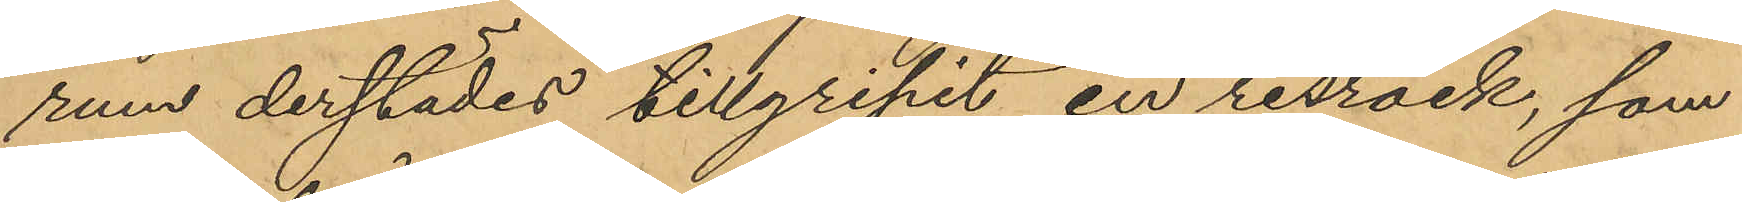rum derstädes tillgripit en resrock, som
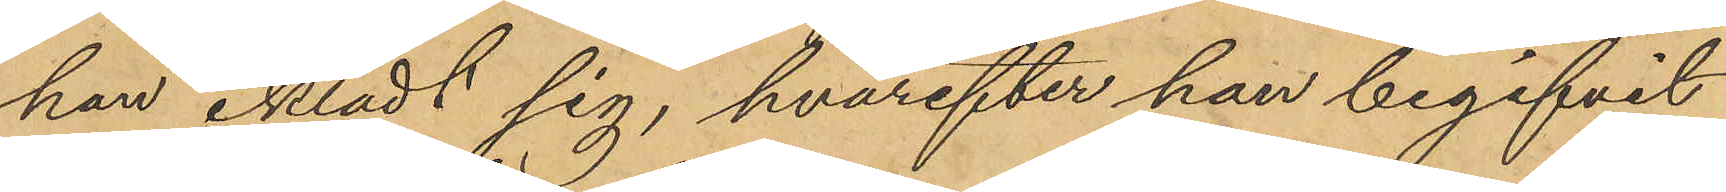han iklädt sig, hvarefter han begifvit
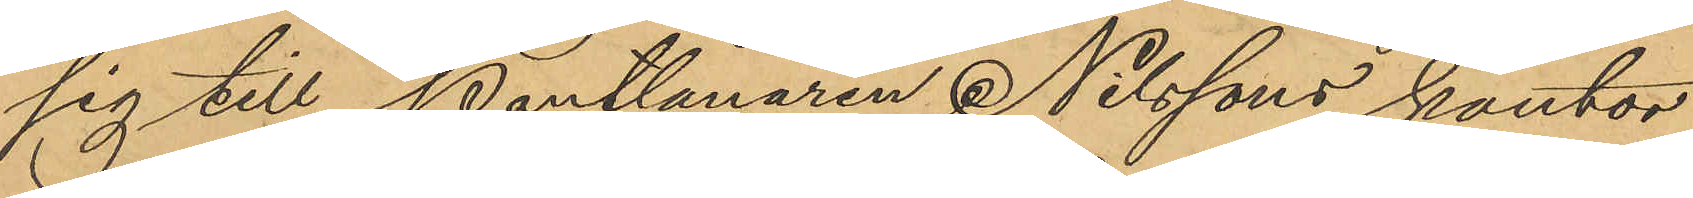sig till Pantlånaren Nilssons kontor
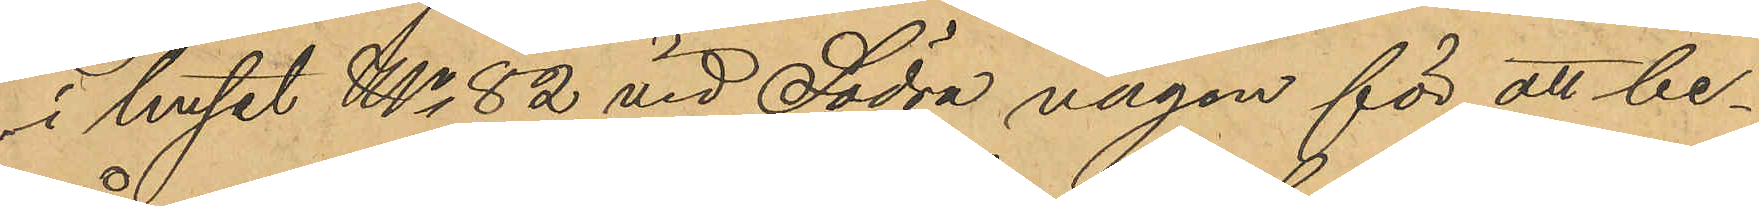i huset No 82 vid Södra vägen för att be¬
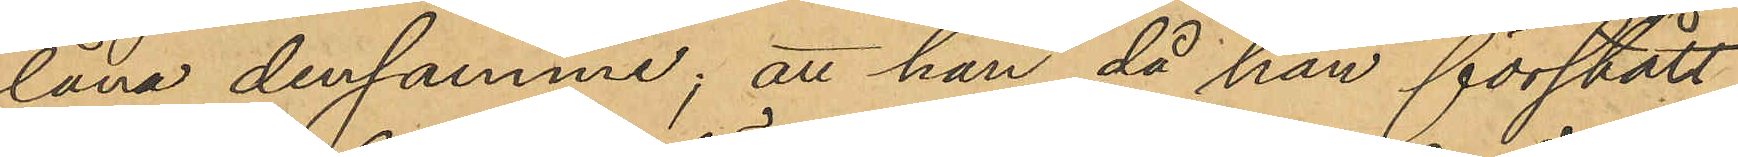låna densamme; att han, då han förstått
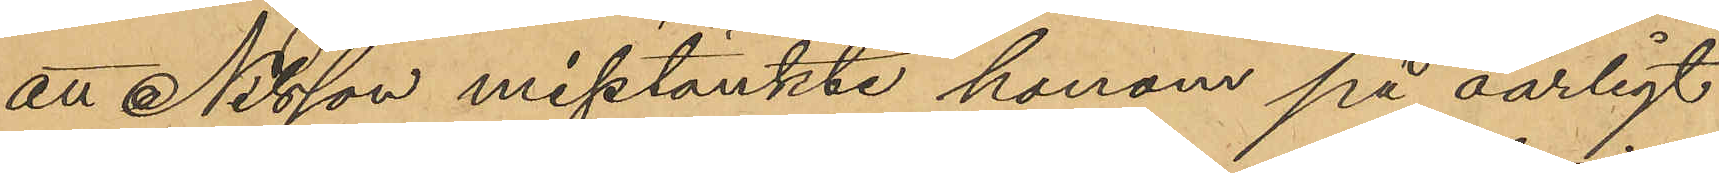att Nilsson misstänkte honom på oärligt
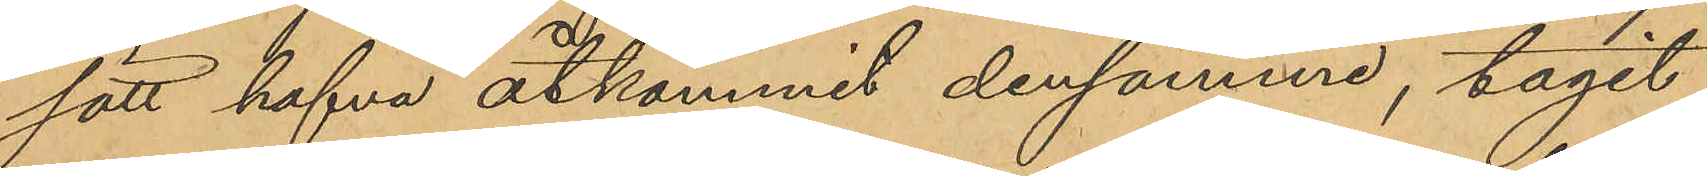sätt hafva åtkommit densamme, tagit
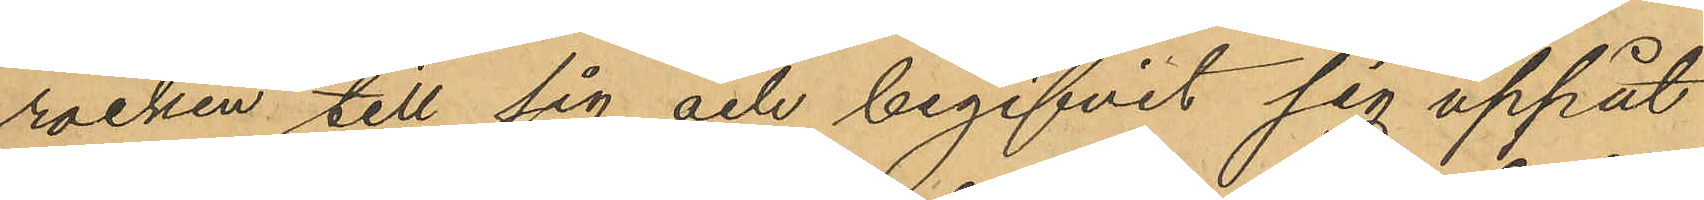rocken till sig och begifvit sig uppåt
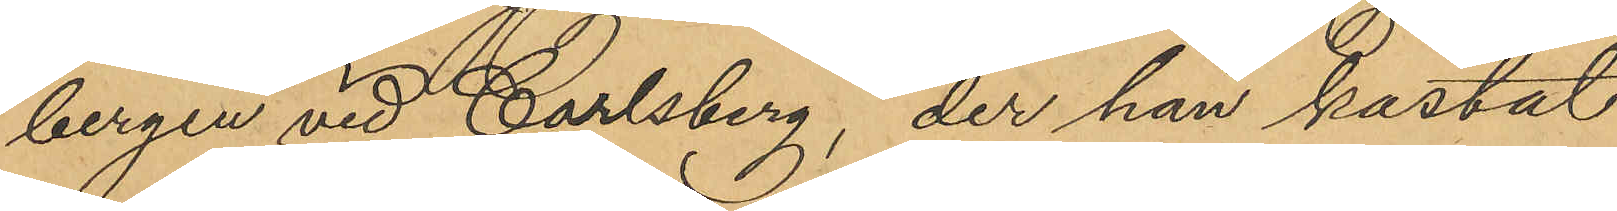bergen vid Carlsberg, der han kastat
